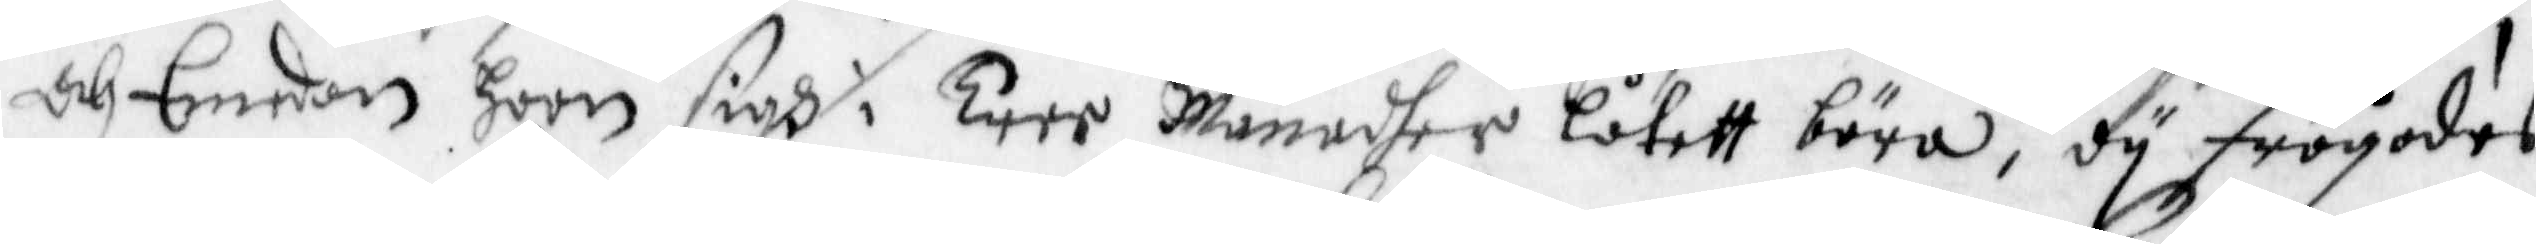och Emedan hoon sigh i Tree månadher låtett bära, dy frågades
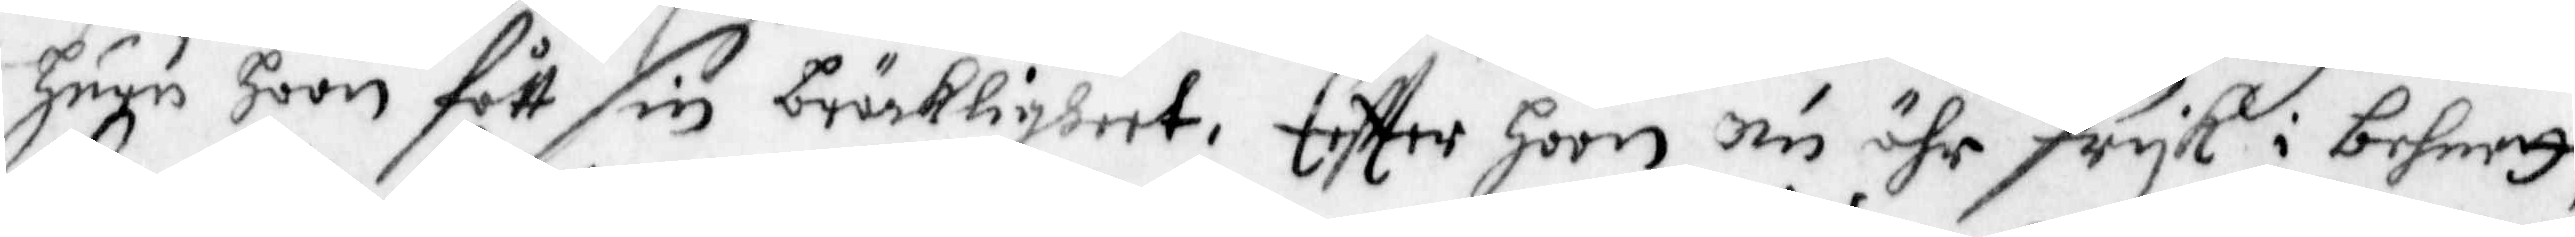huru hoon fått sin bräckligheet. Effter hoon nu ähr fryk i behnet,
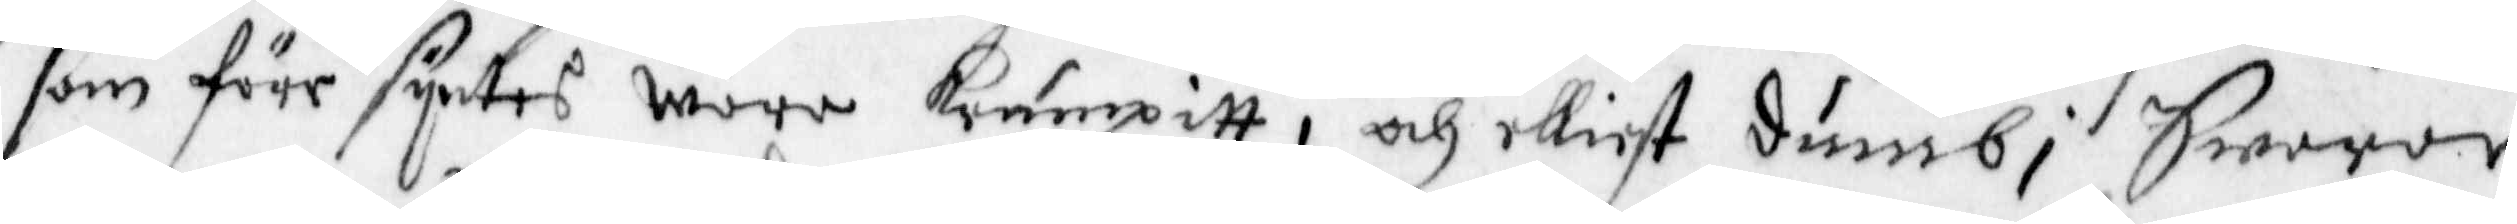som före syntes wore krumpitt, och elliest dumb, Swarar
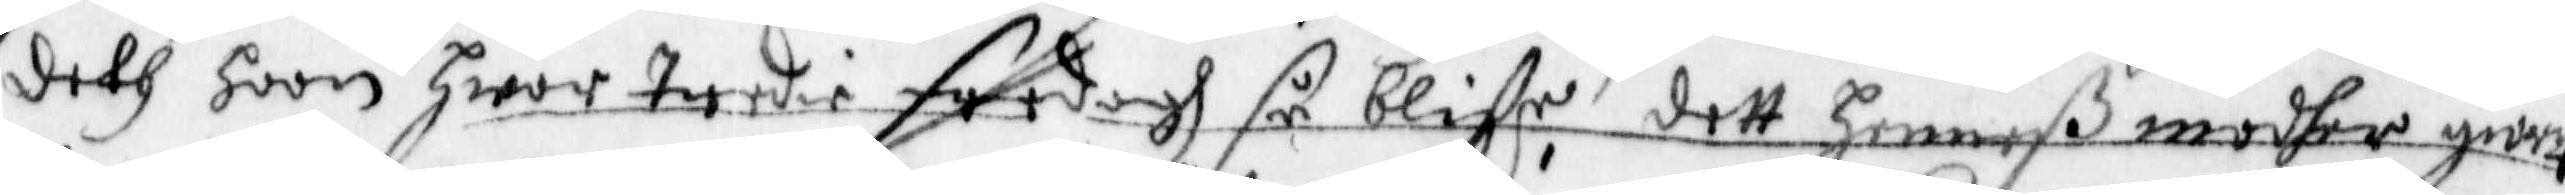deth hoon hwar Tredie fredagh så bliffe, dett henneß modher giordt
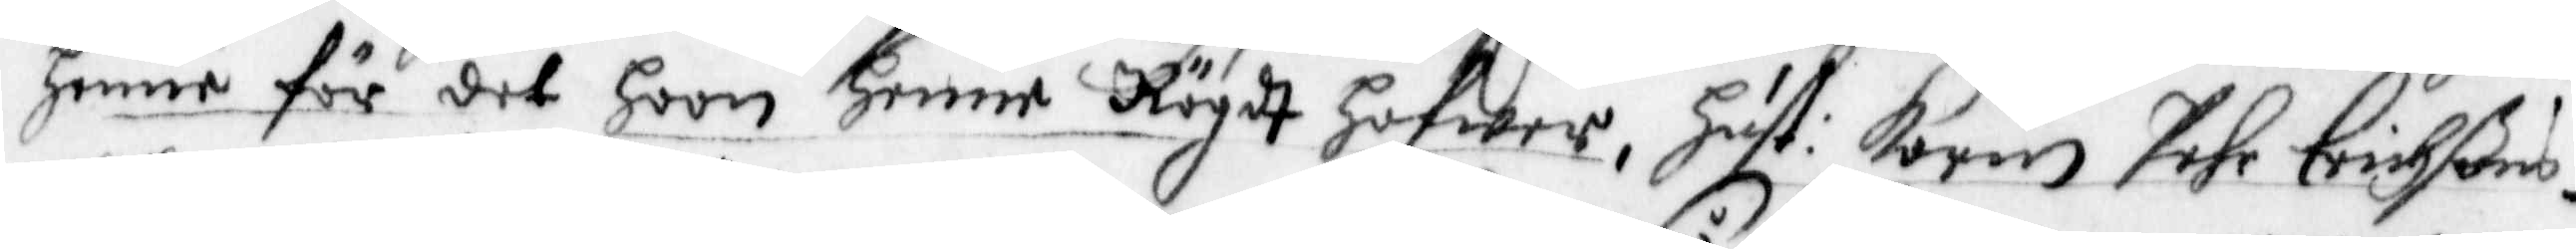henne för det Hoon Henne Rögdt hafwer, Hust: Karin Pehr Erichsßons
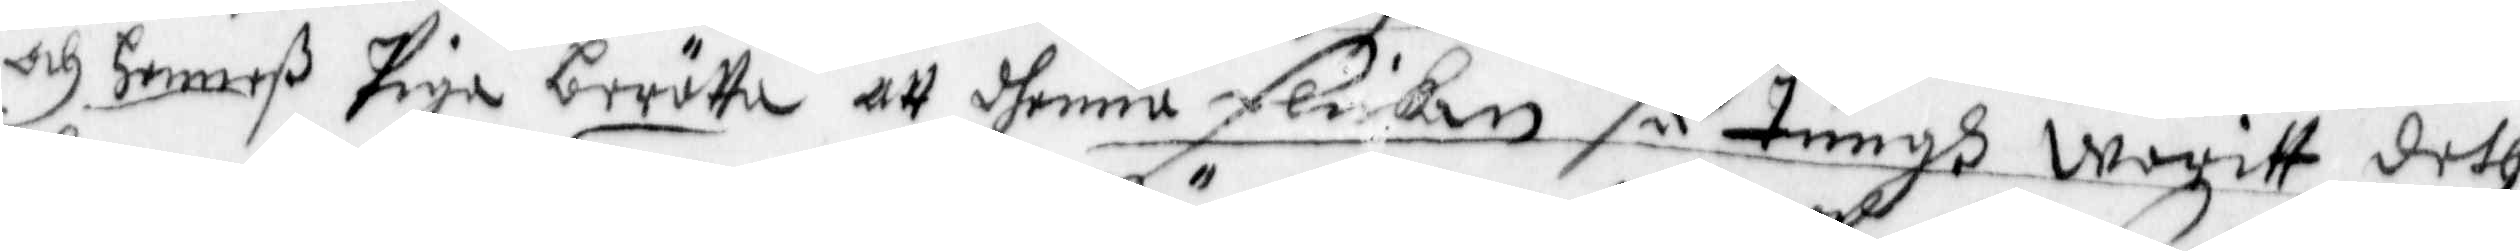och henneß Piga berätta att dhenne Flickan så tungh warit deth
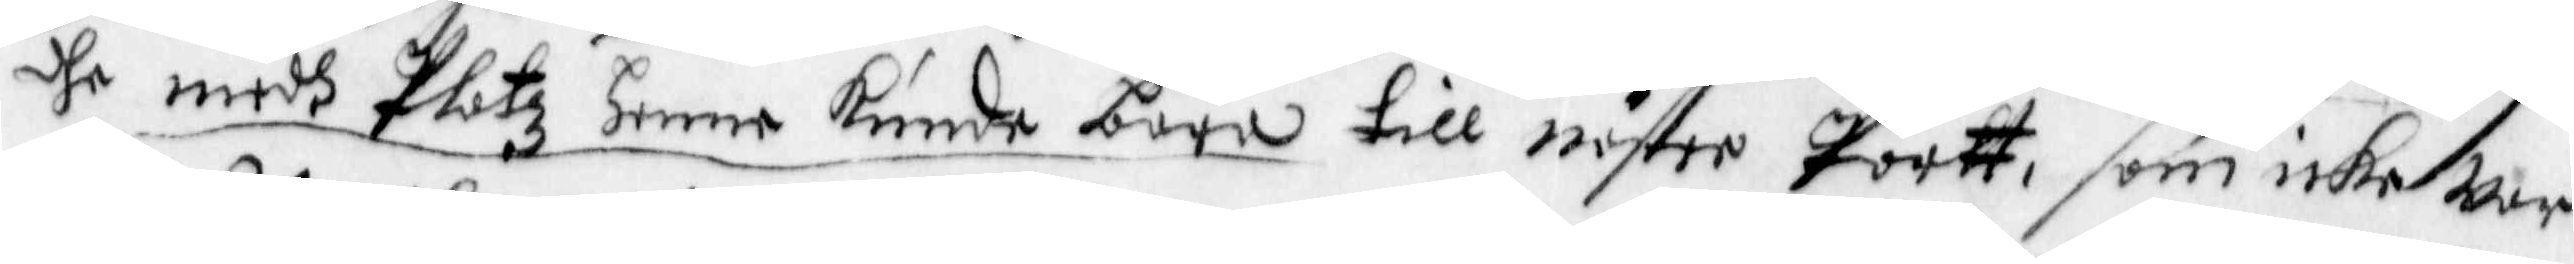dhe medh Plotz Henne kunde bära till näster Portt, som icke war
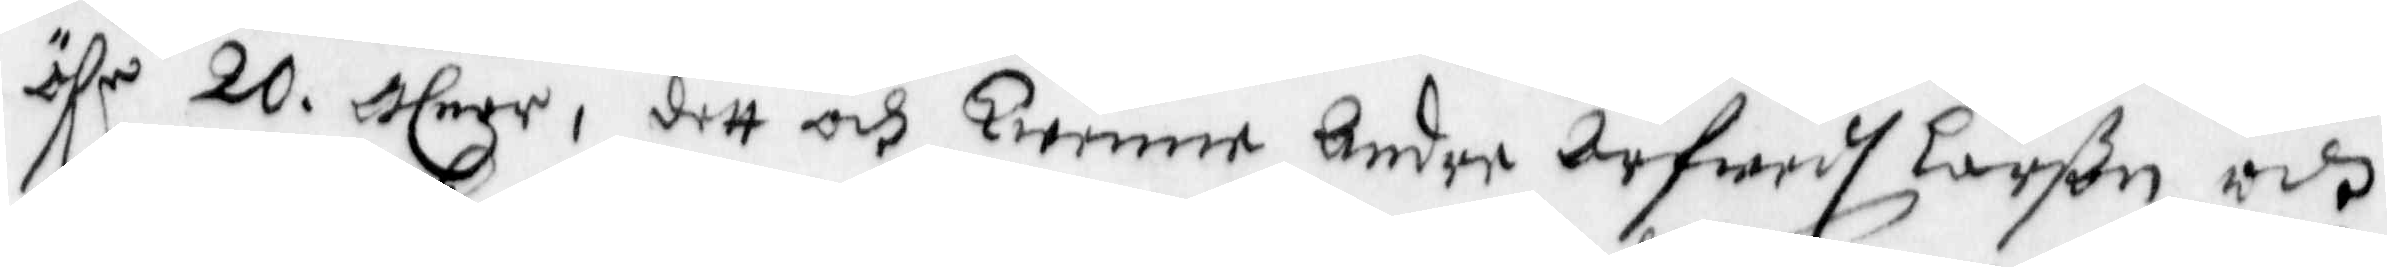öfr 20. alnar, dett och Twenne Andre Arfwedh Larson och
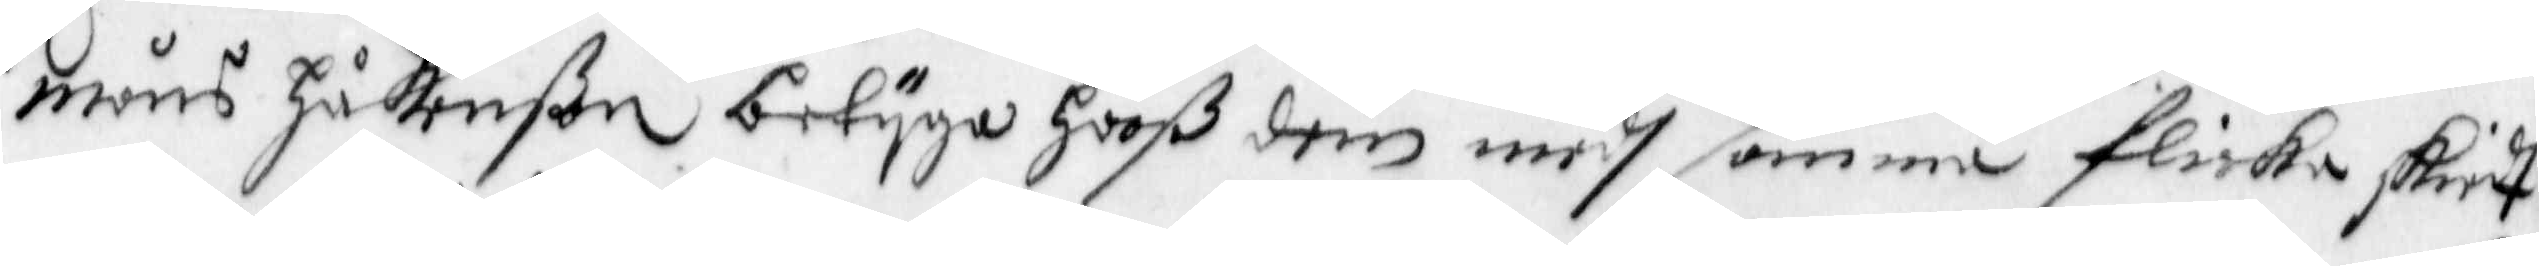måns Håkanßon betyga hooß dem medh samma flicka skiedt
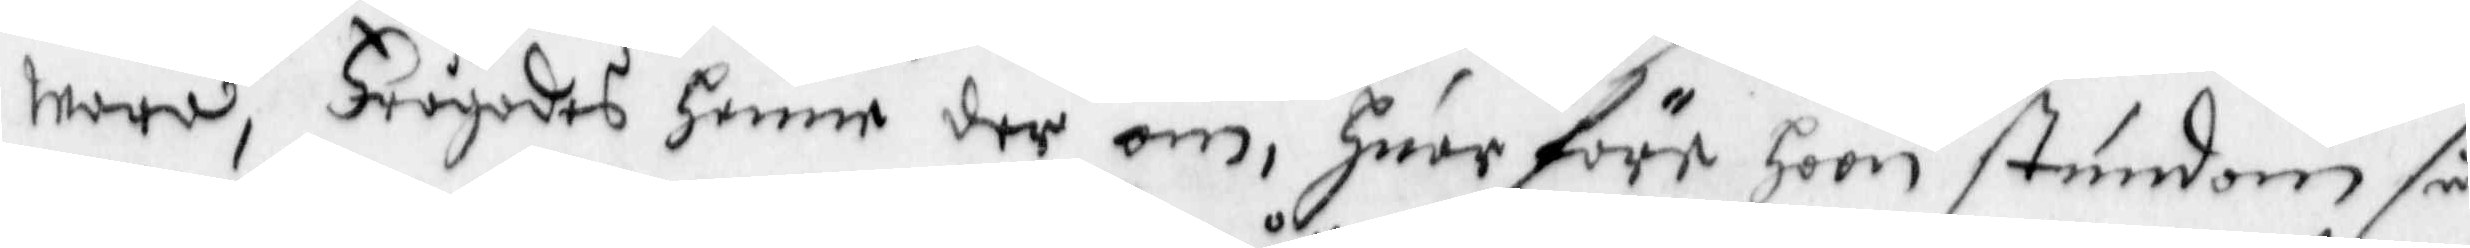wara, Frågades henne der om, Huarföre hoon stundom så
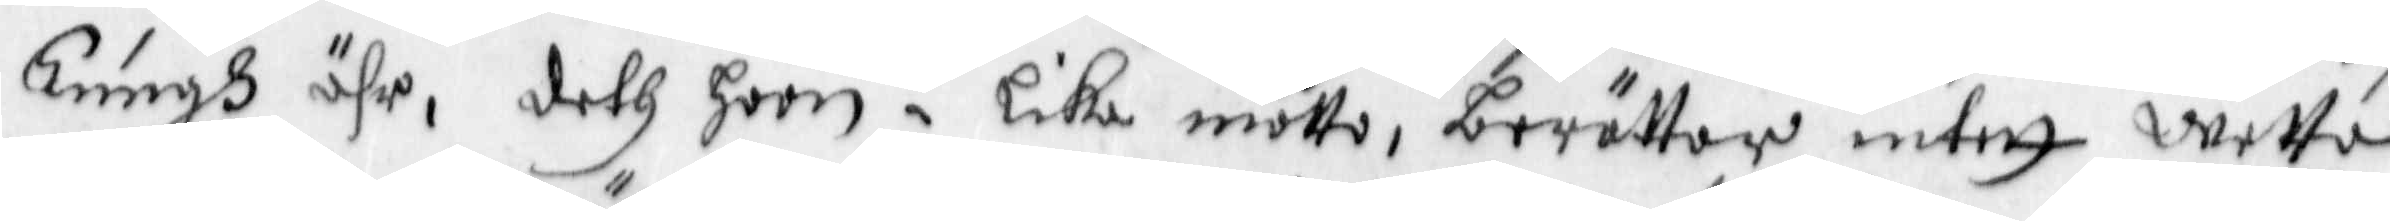Tungh ähr, deth hon i lika måtto, berättar intett wetta
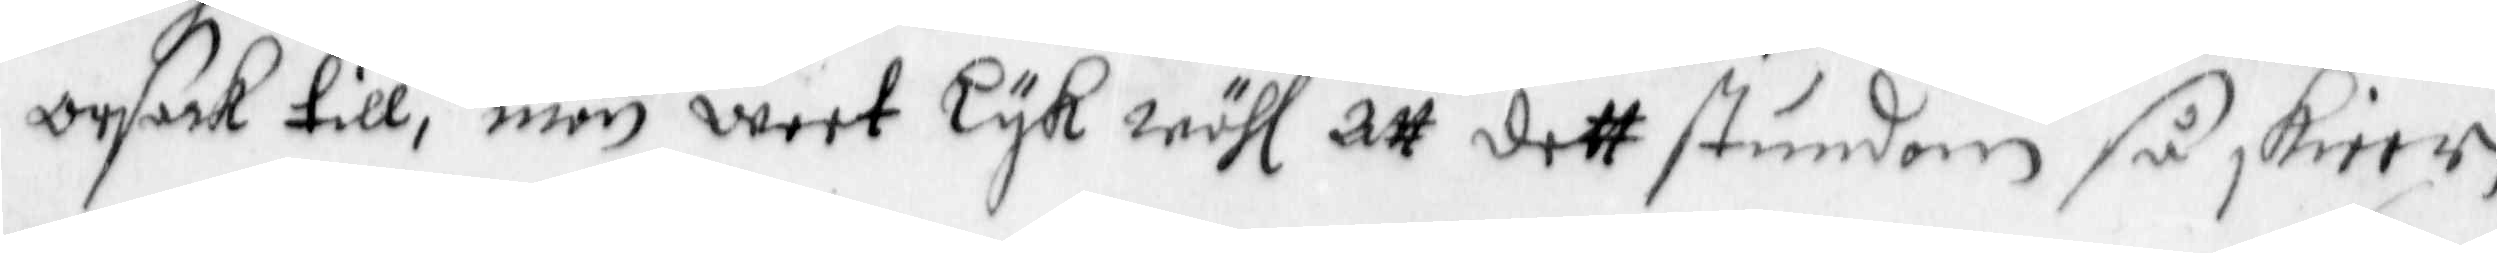orsak till, men weet Lykwähl att dett stundom så skeer,
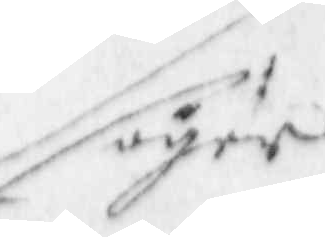säger
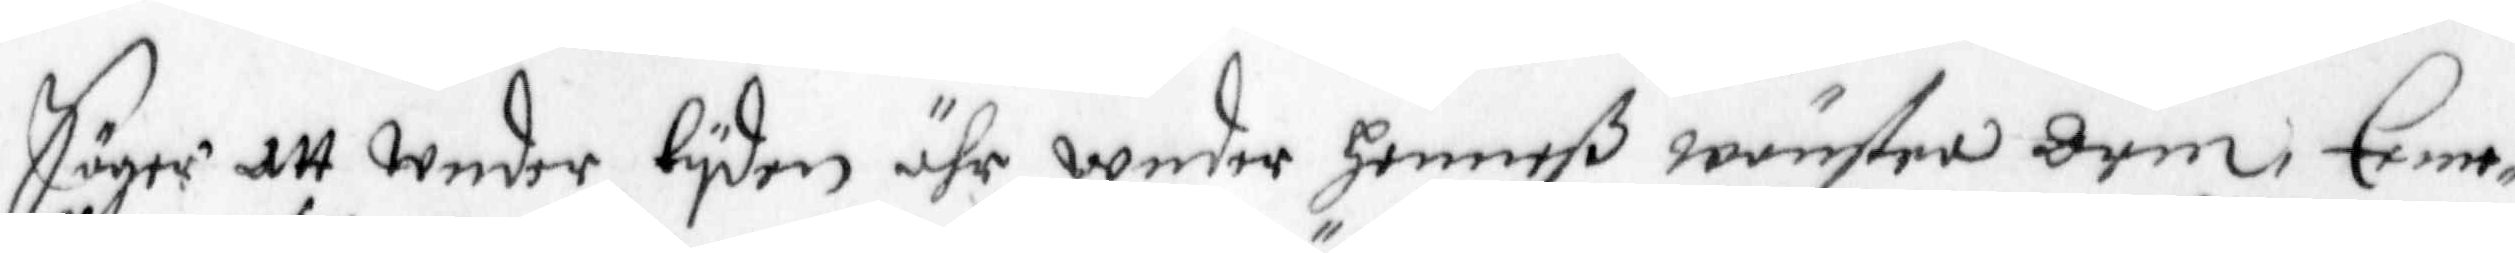Säger att Under tyden ähr unnder henneß wänstra Arm, Eeme¬
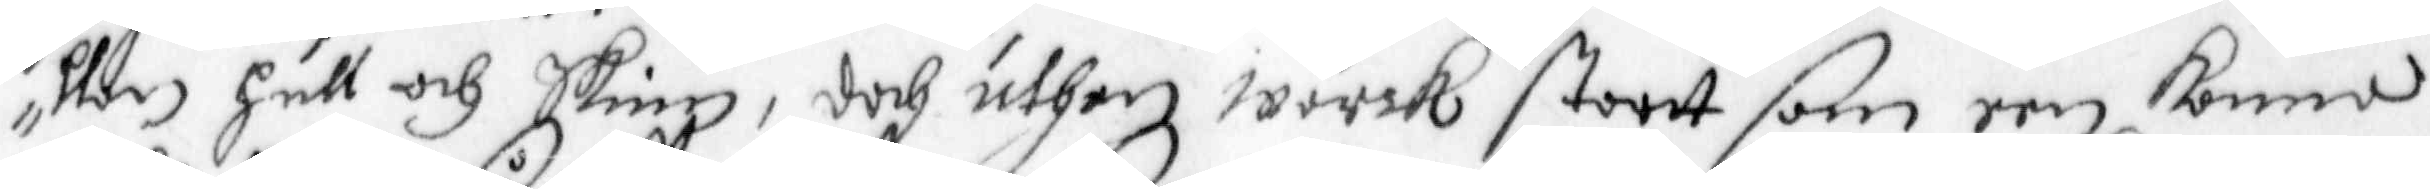llan hull och Skinn, doch uthan wärck stortt som een komma,
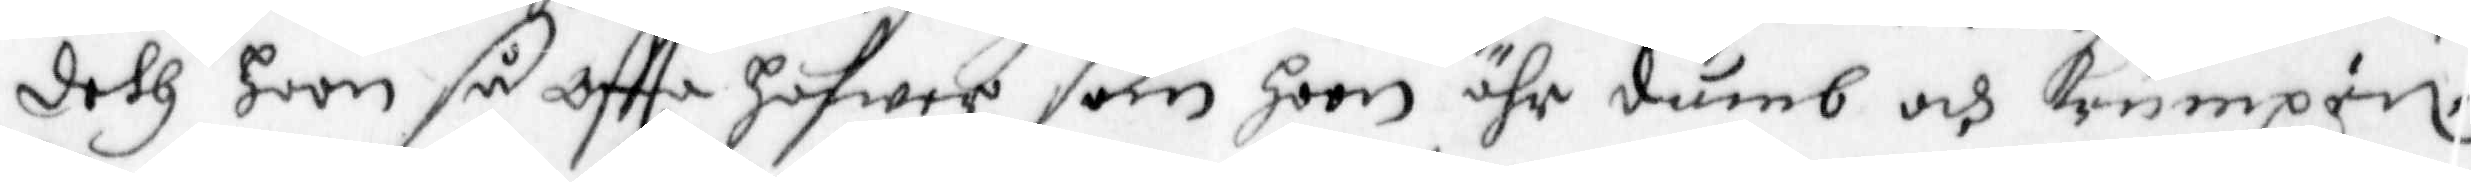deth hoon så oftta hafwer som hoon ähr dumb och krumpen.
